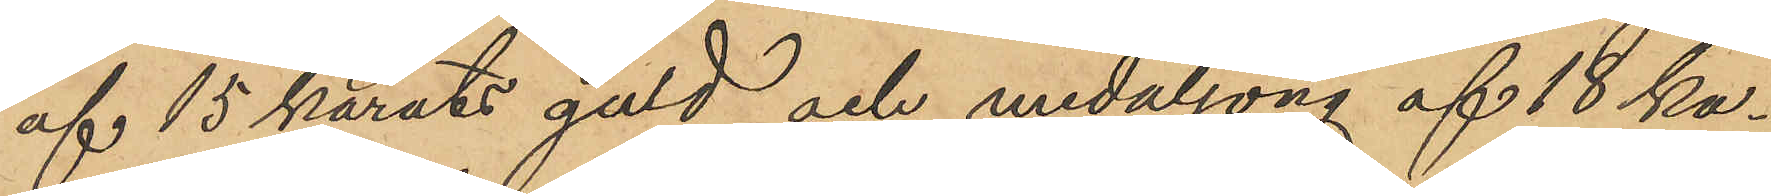af 15 karats guld och medaljong af 18 ka¬
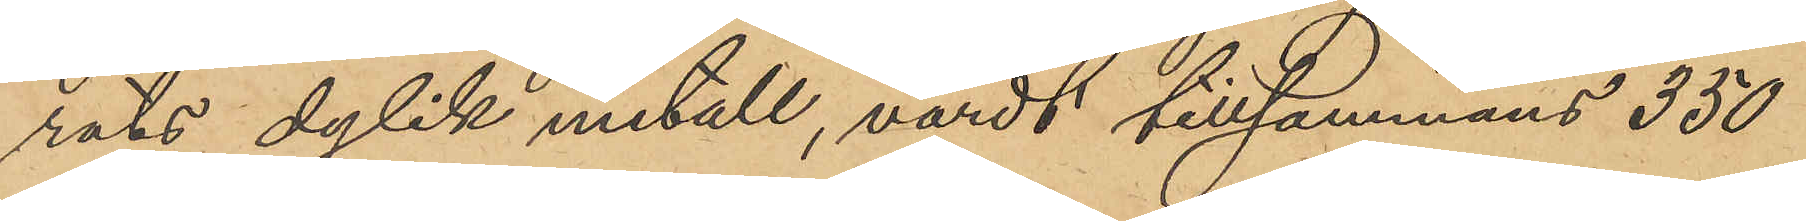rats dylik metall, värdt tillsammans 350
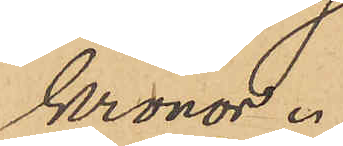kronor.
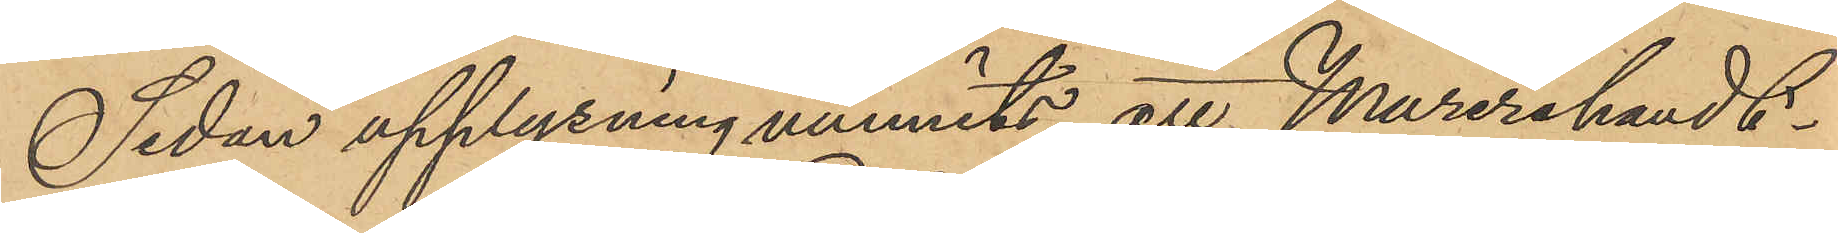Sedan upplysning vunnits att Murerihandt¬
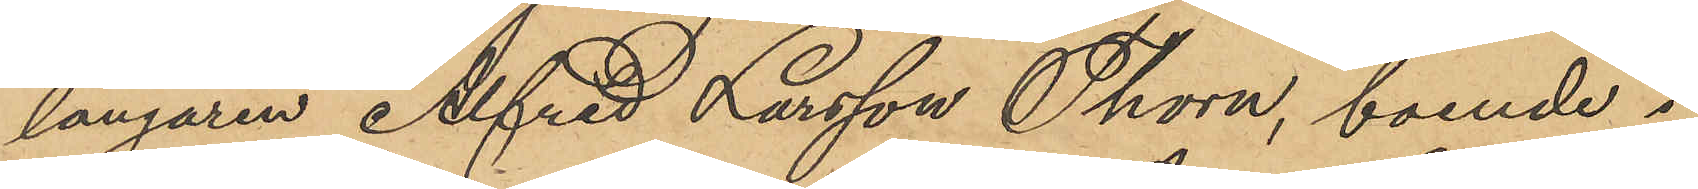langaren Alfred Larsson Thorn, boende i
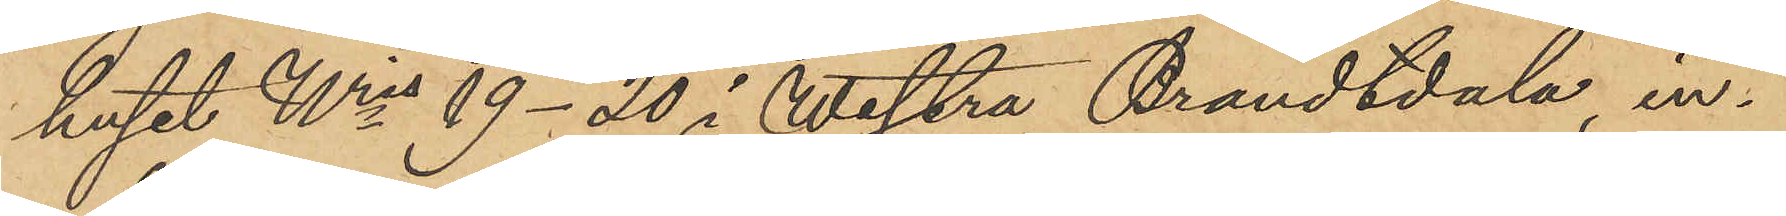huset Nris 19-20 i Westra Brandtdala, in¬
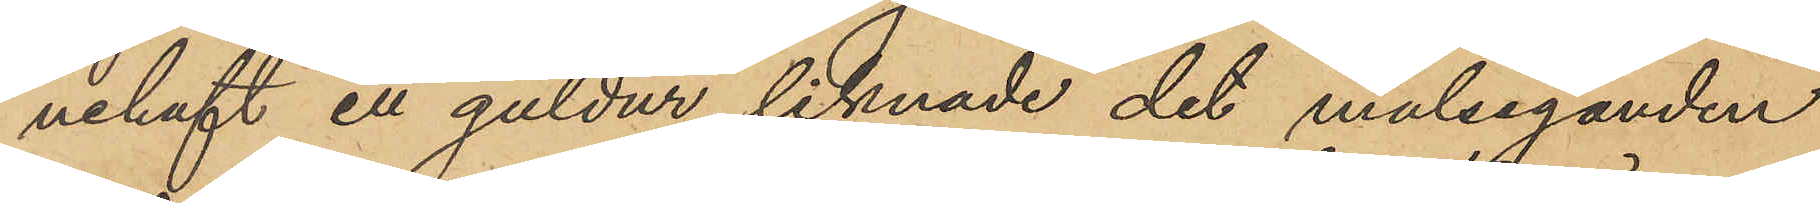nehaft ett guldur liknade det målseganden
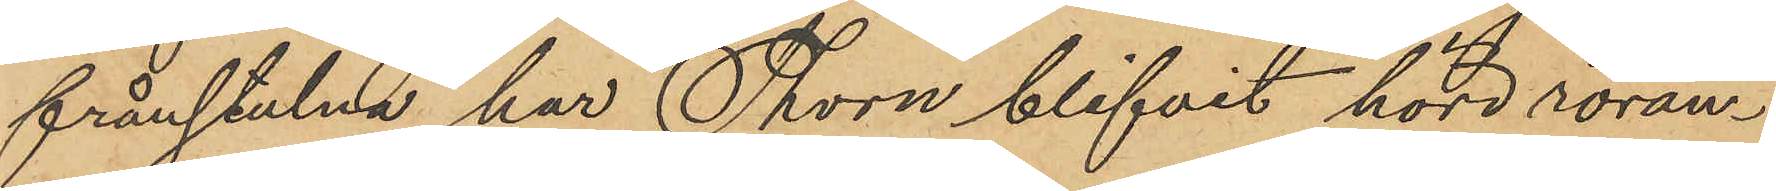frånstulna, har Thorn blifvit hörd röran¬
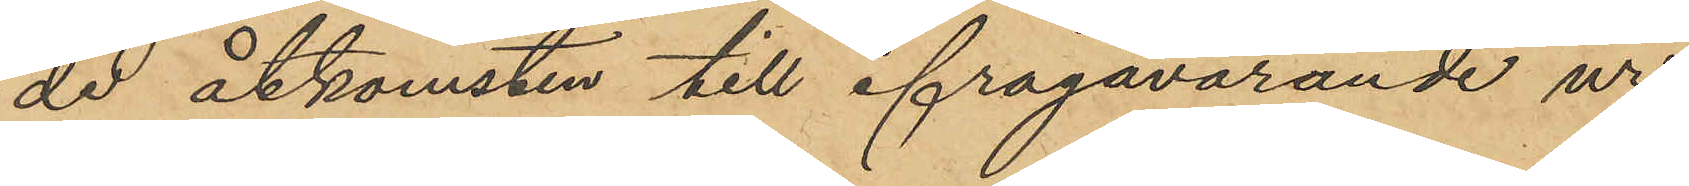de åtkomsten till ifrågavarande ur,
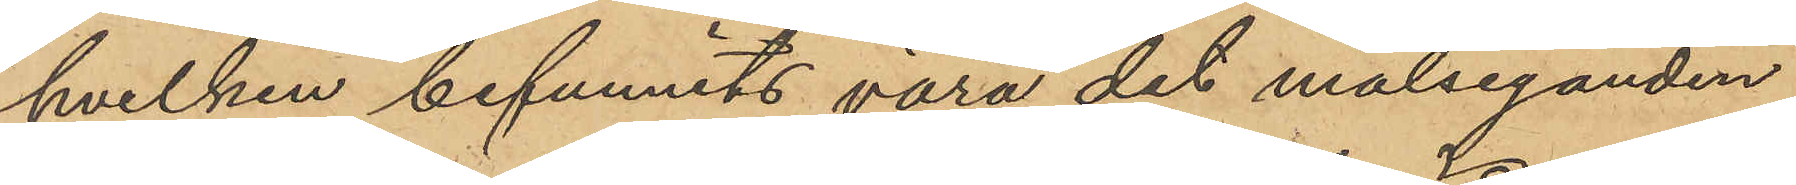hvilken befunnits vara det målseganden
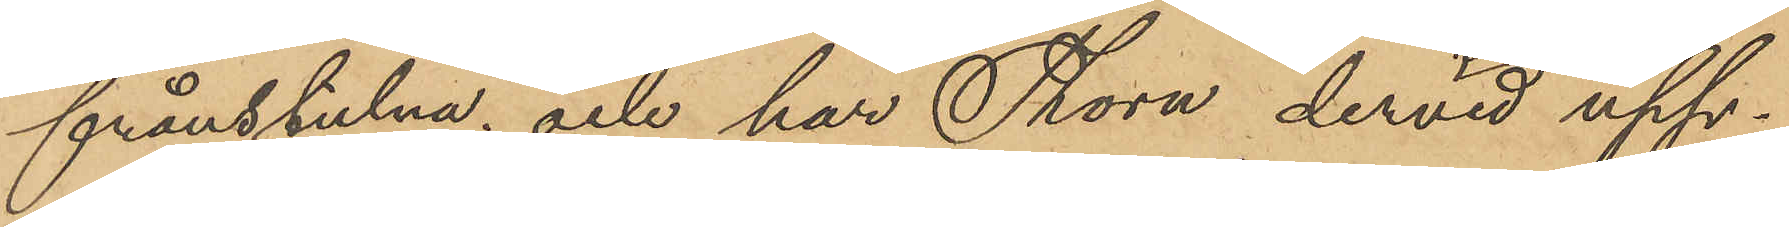frånstulna; och har Thorn dervid upp¬
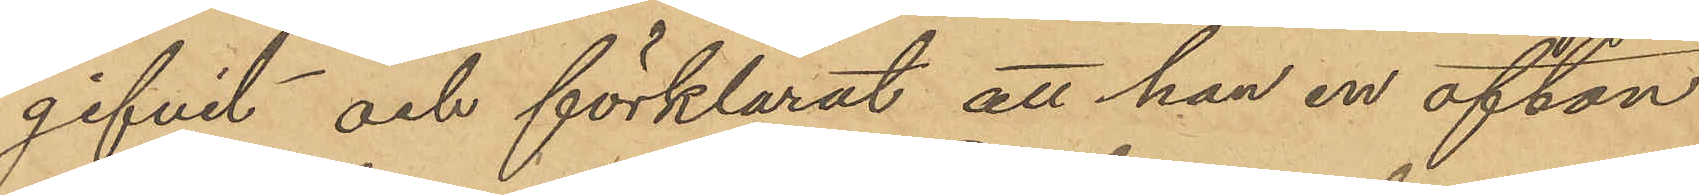gifvit och förklarat att han en afton
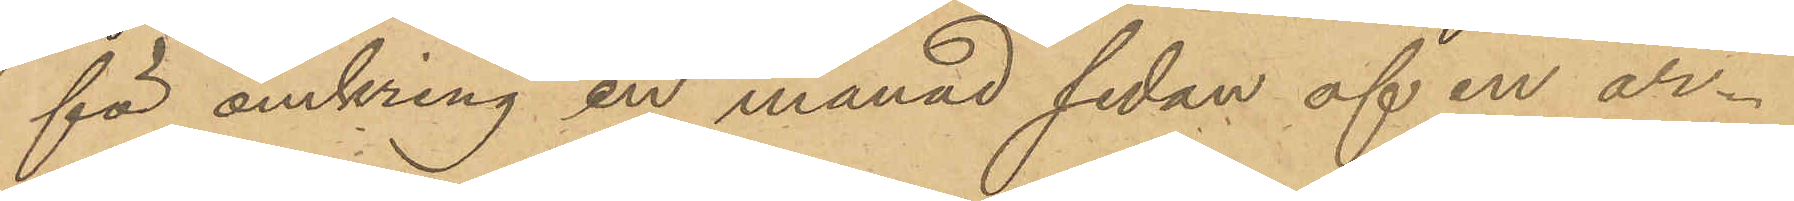för omkring en månad sedan af en ar¬
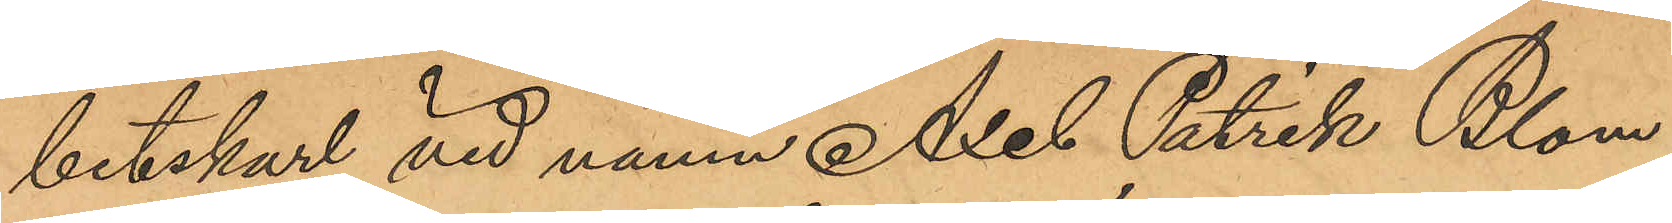betskarl vid namn Axel Patrik Blom,
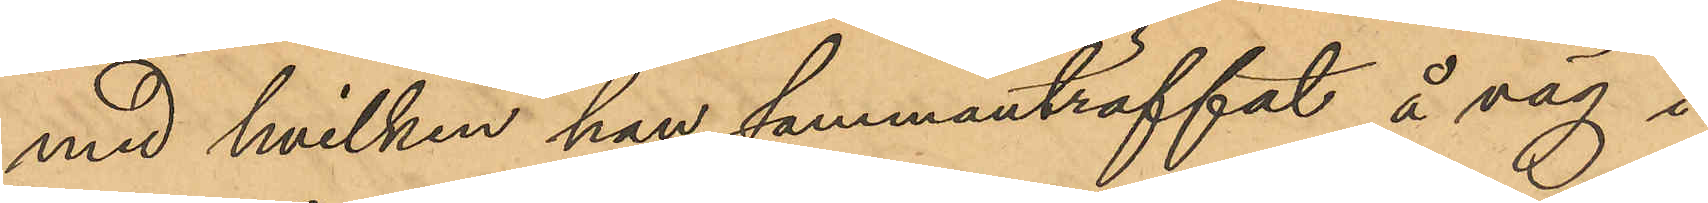med hvilken han sammanträffat å väg i
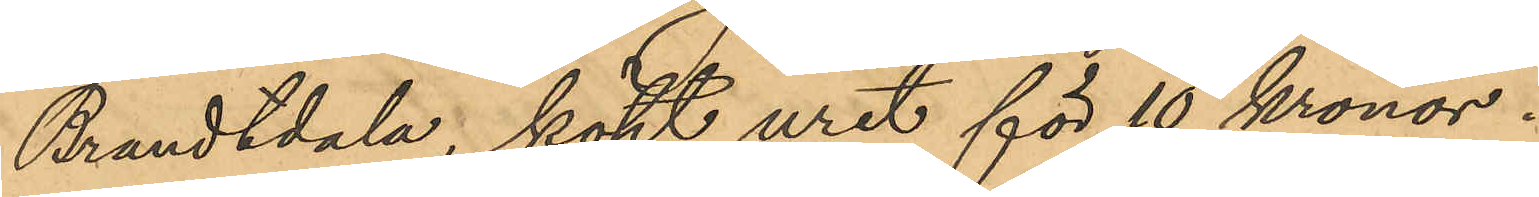Brandtdala, köpt uret för 10 kronor.
